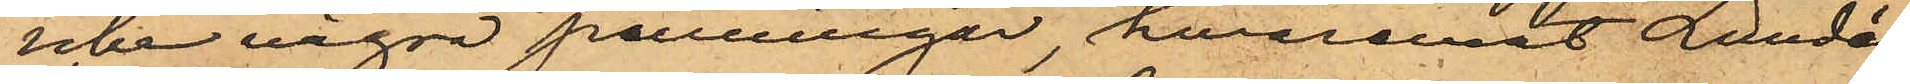icke några penningar, hvaremot Lundén
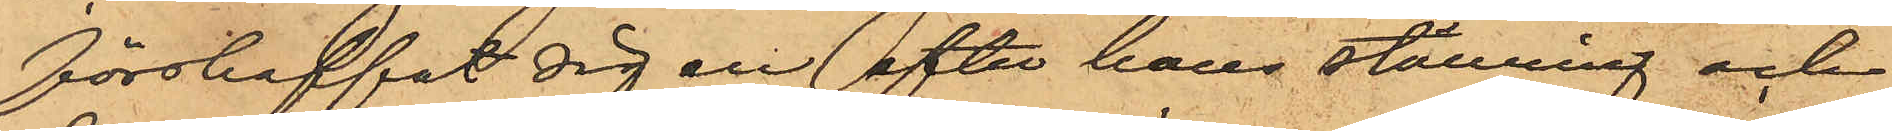förskaffat sig en efter hans ställning och
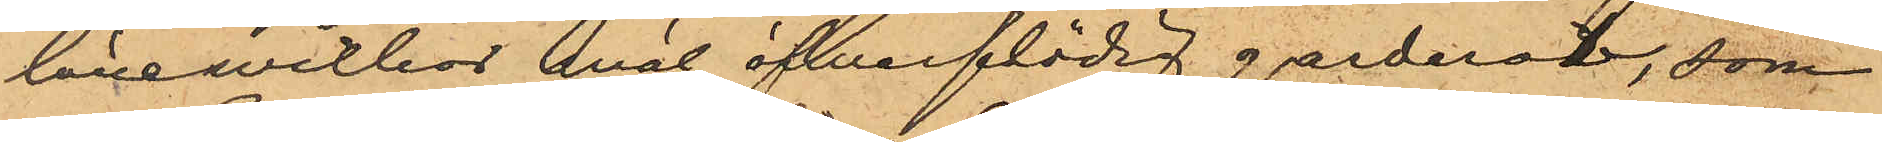lönewilkor wäl öfverflödig garderob, som
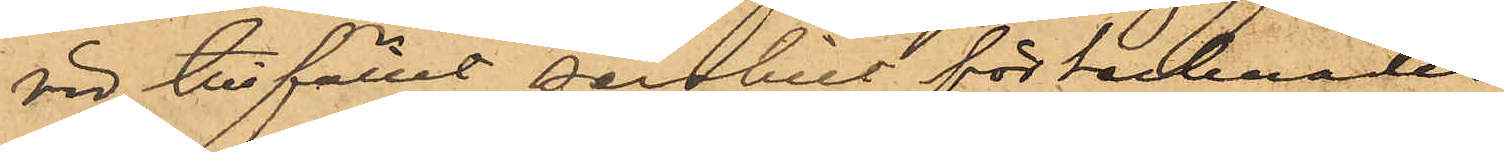vid tillfället serskilt förtecknades.
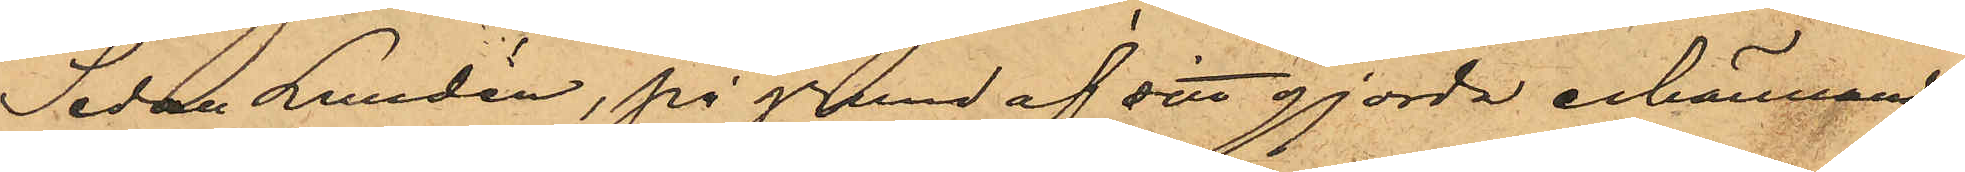Sedan Lundén, på grund af sitt gjorda erkännande
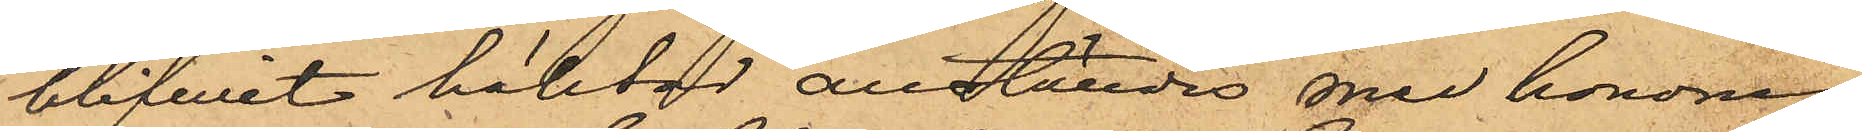blifwit häktad anställdes med honom
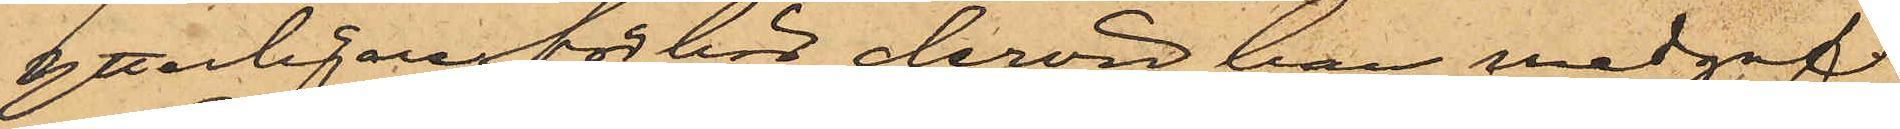ytterligare förhör dervid han medgaf
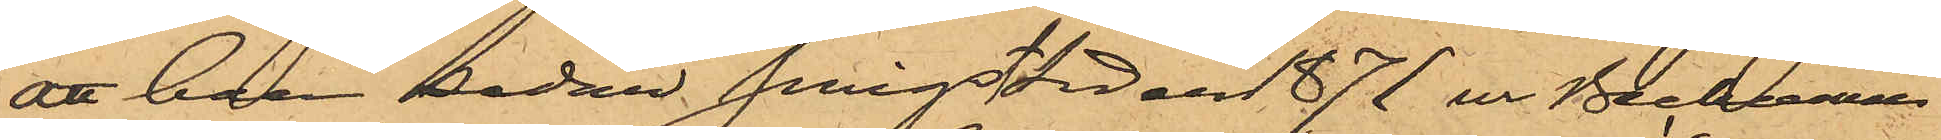att han sedan Pingsttiden 1871 ur Beckmans
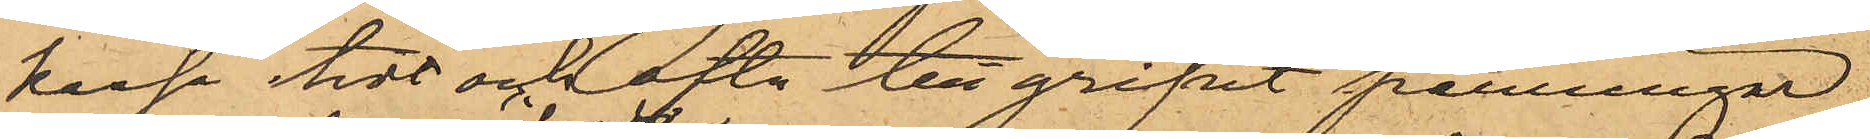kassa tidt och ofta tillgripit penningar,
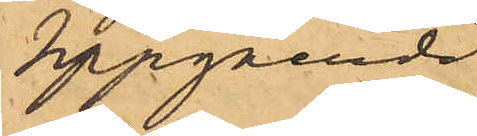uppgående
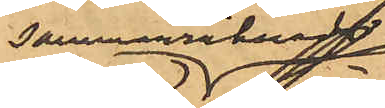sammanräknadt
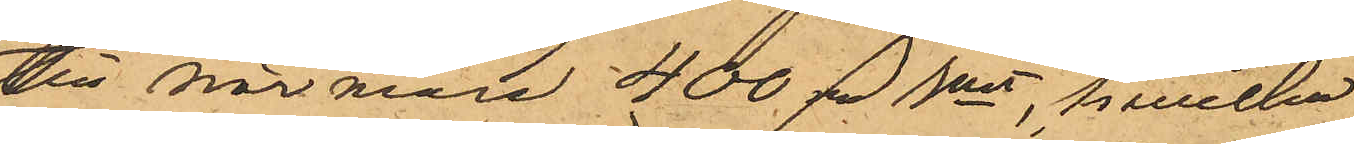till närmare 400 rd rmt, hwilka
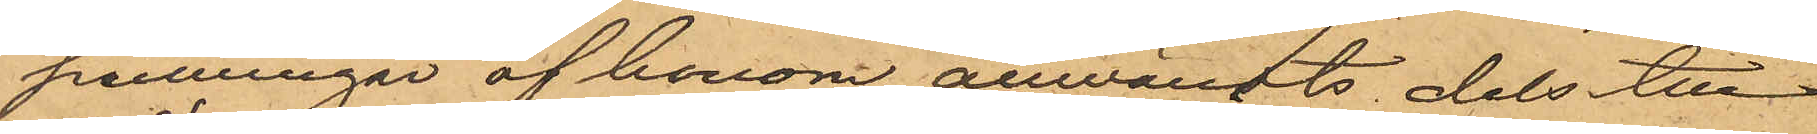penningar af honom användts, dels till
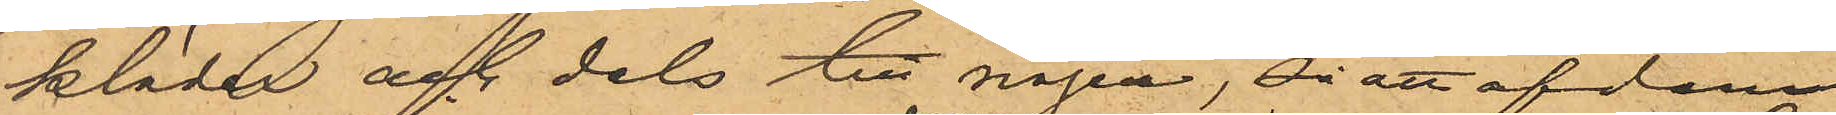kläder och dels till nöjen, så att af dem
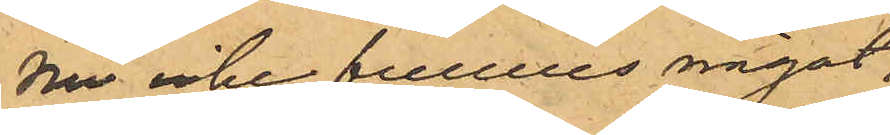nu icke funnes något
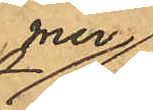mer
